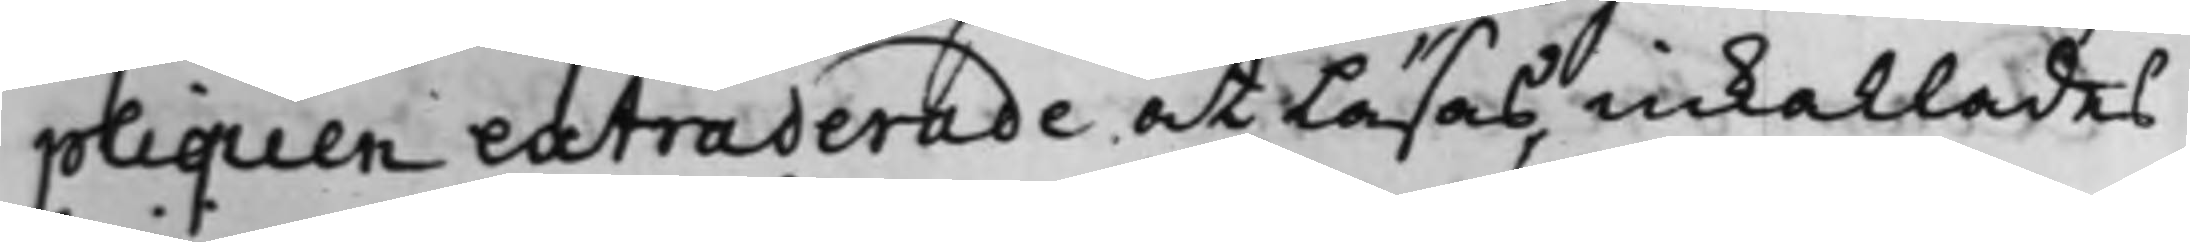pliquen extraderade at läsas, inkallades
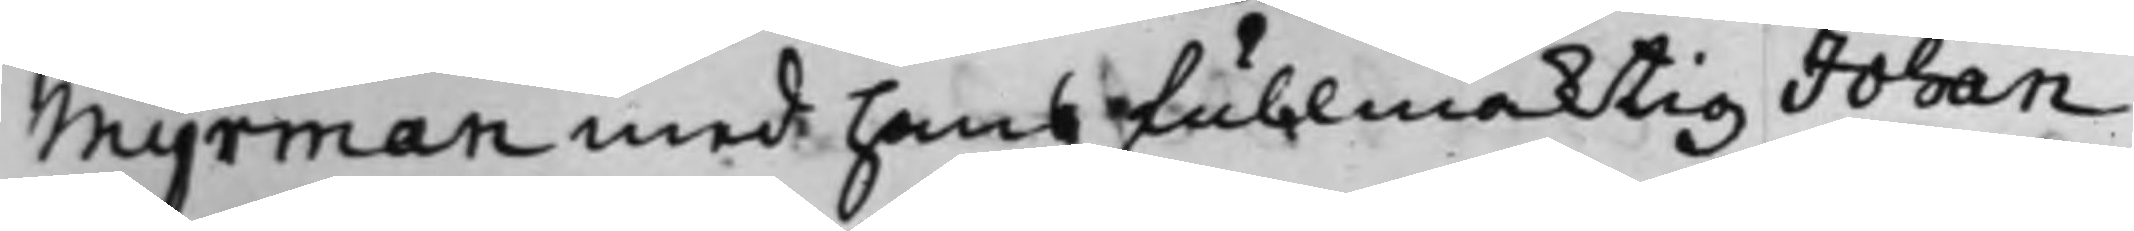Myrman med hans fullmäktig Johan
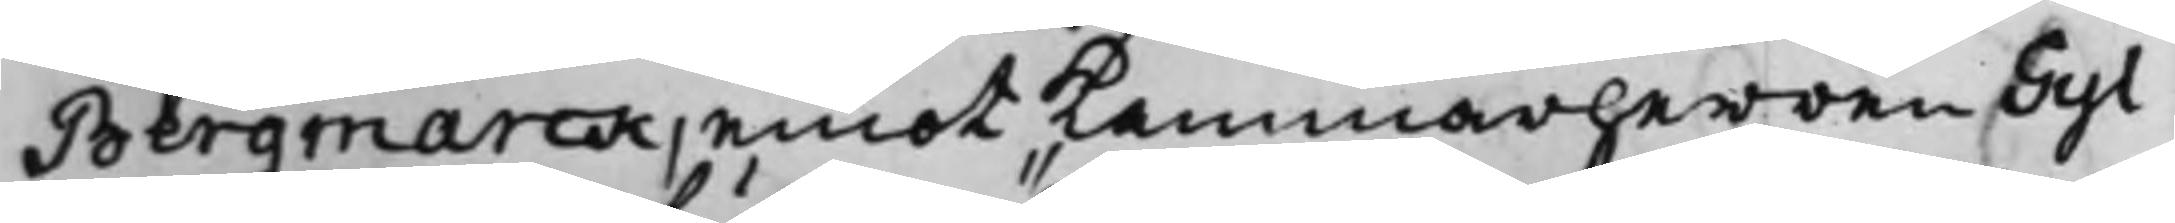Bergmarck, emot Kammarherren Gyl¬
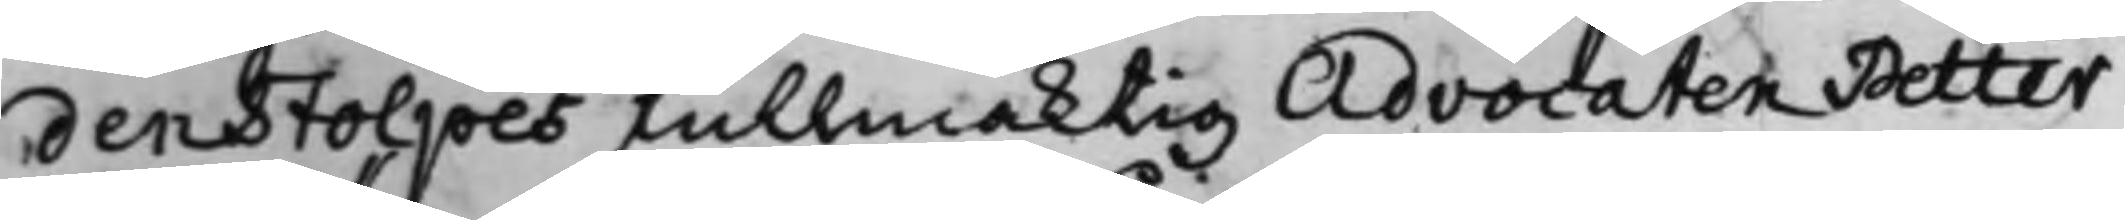denstolpes fullmäktig Advocaten Petter
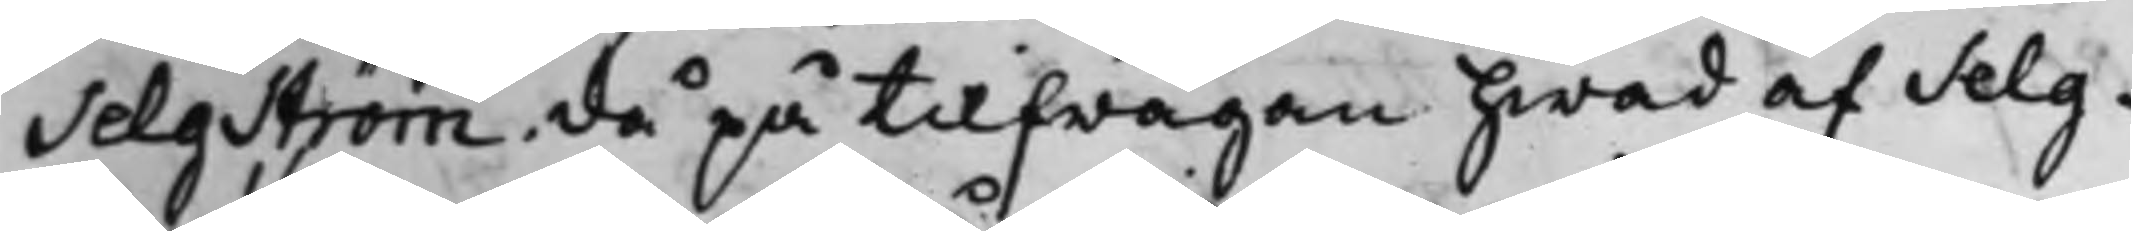Selgström. då på tilfrågan hwad af Selg¬
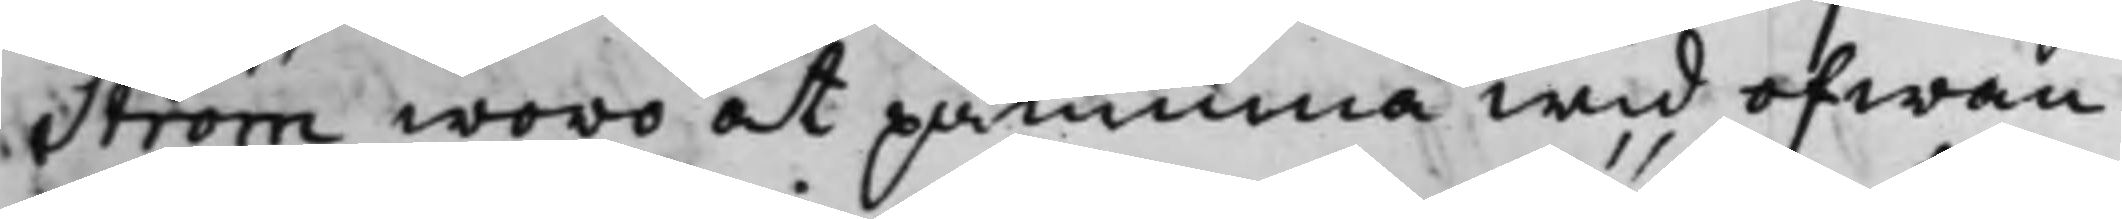Ström woro at påminna wid ofwan¬
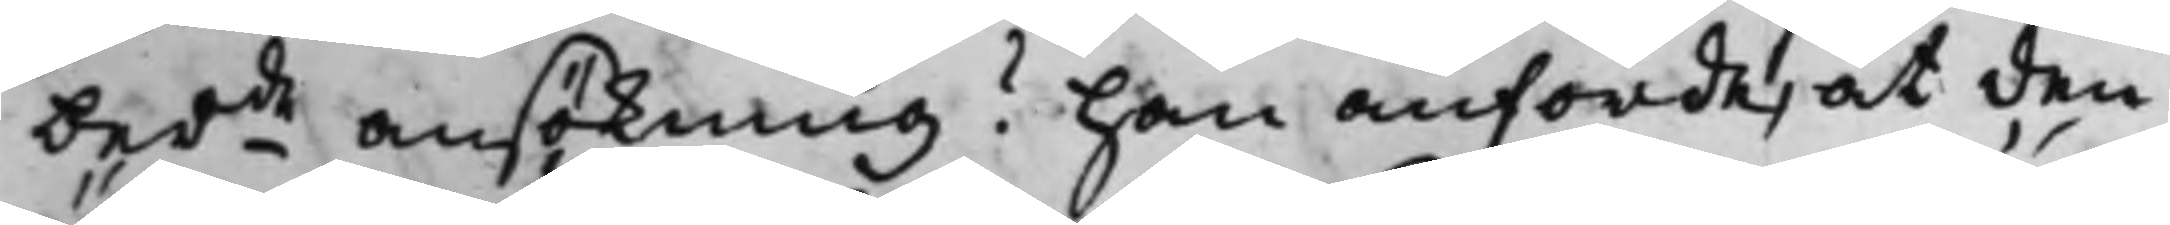berde ansökning? Han anförde, at den
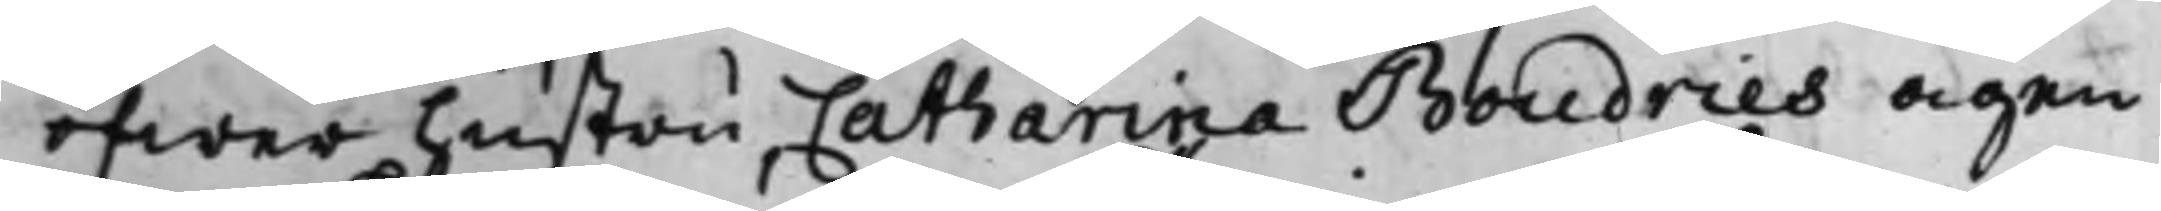öfwer hustru Catharina Boudries ägen¬
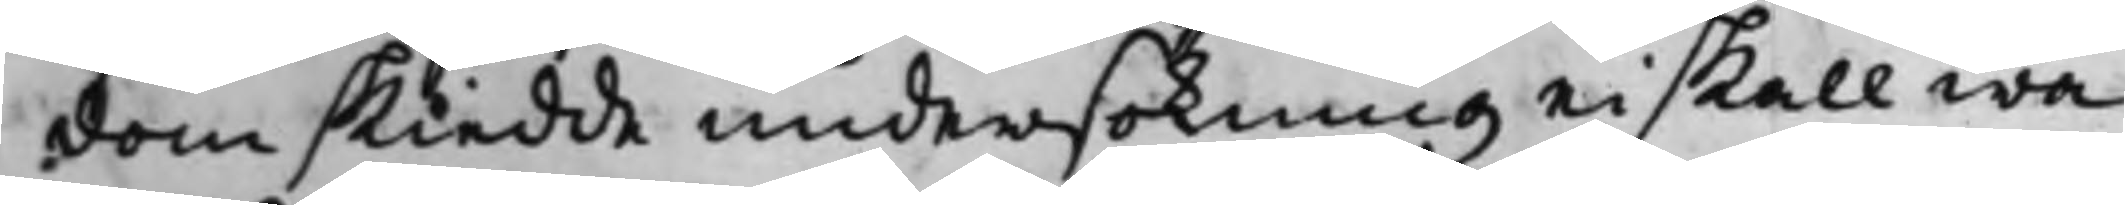dom skiedde undersökning ei skall wa¬
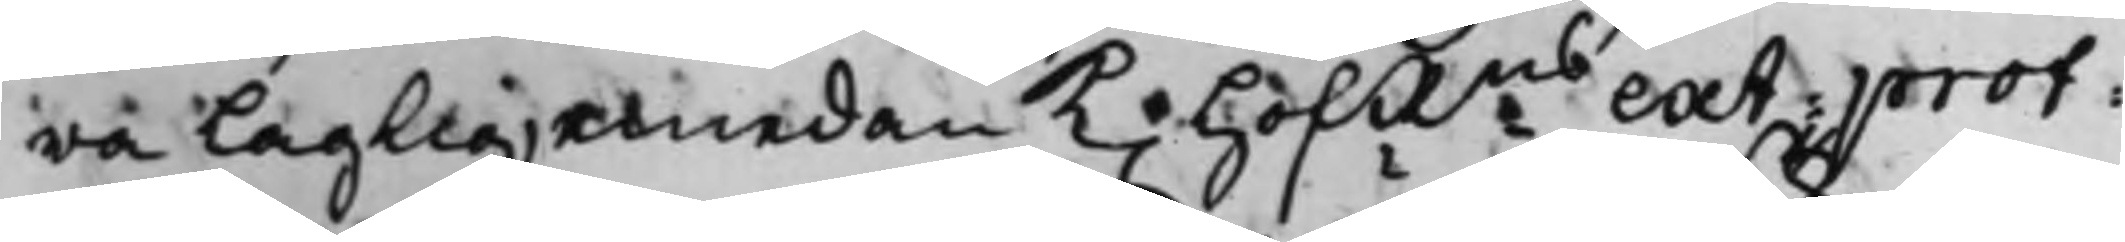ra Laglig, emedan K. HofRns ext: prot:
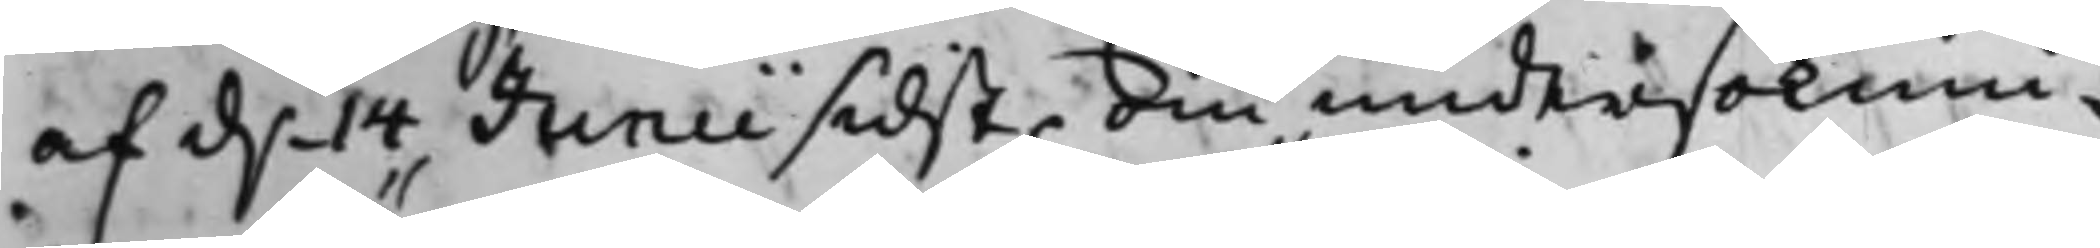af d.n 14 Junii sidst. om undersöknin¬
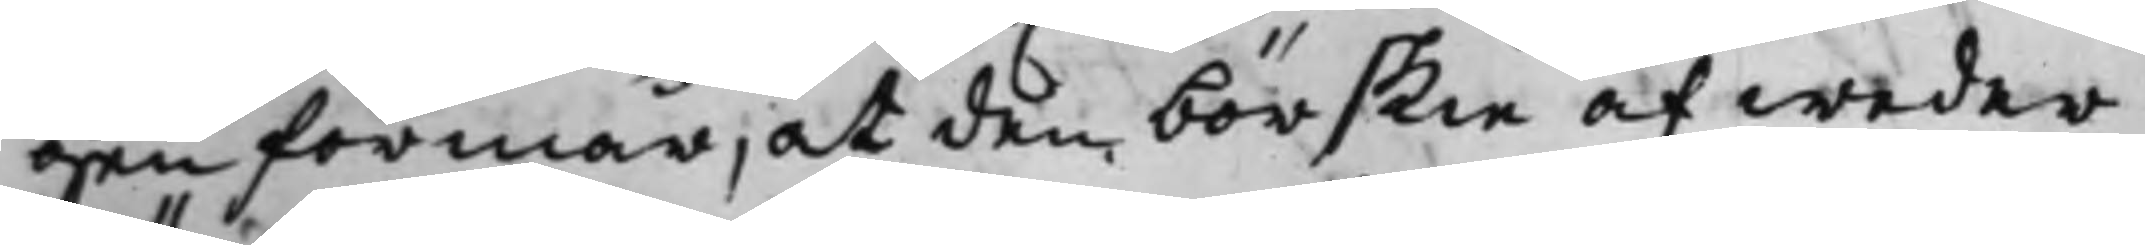gen förmår, at den bör skie af weder¬
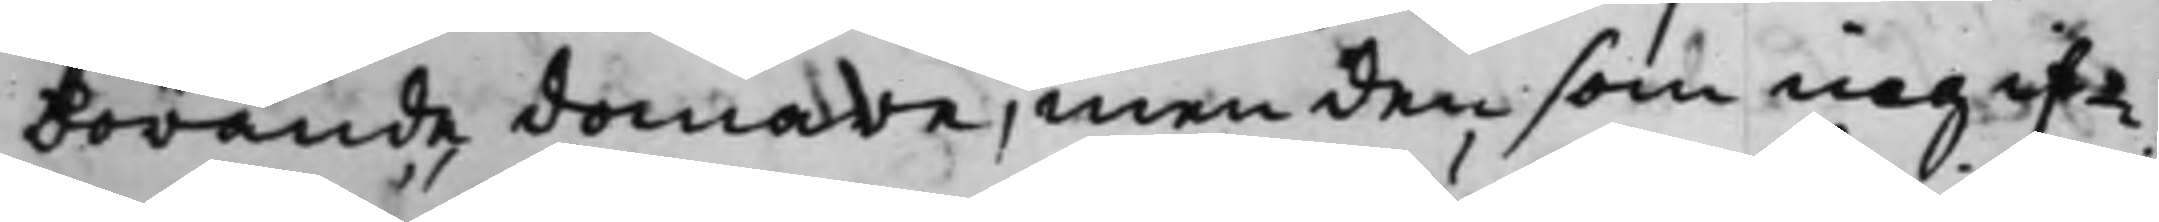börande domare, men den som ingif¬
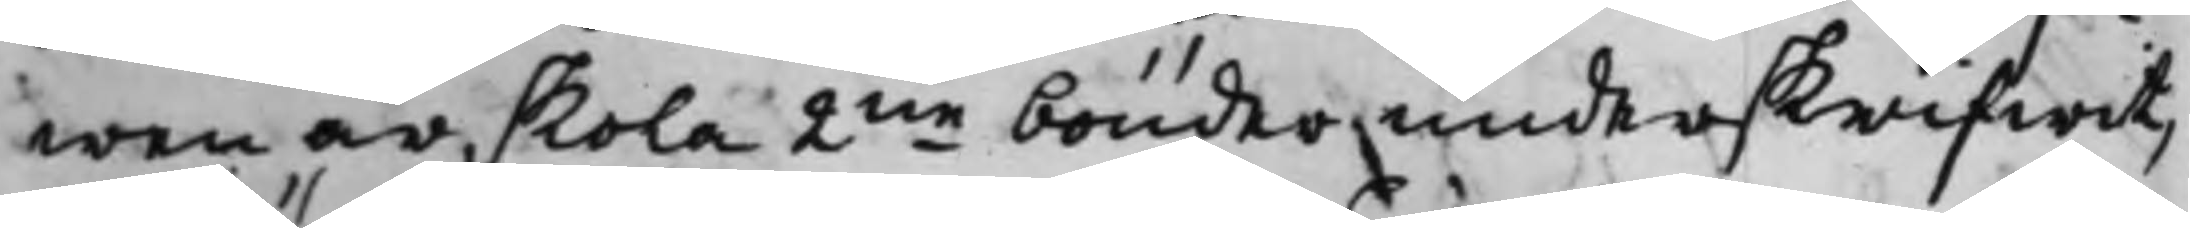wen är, skola 2ne bönder underskrifwit,
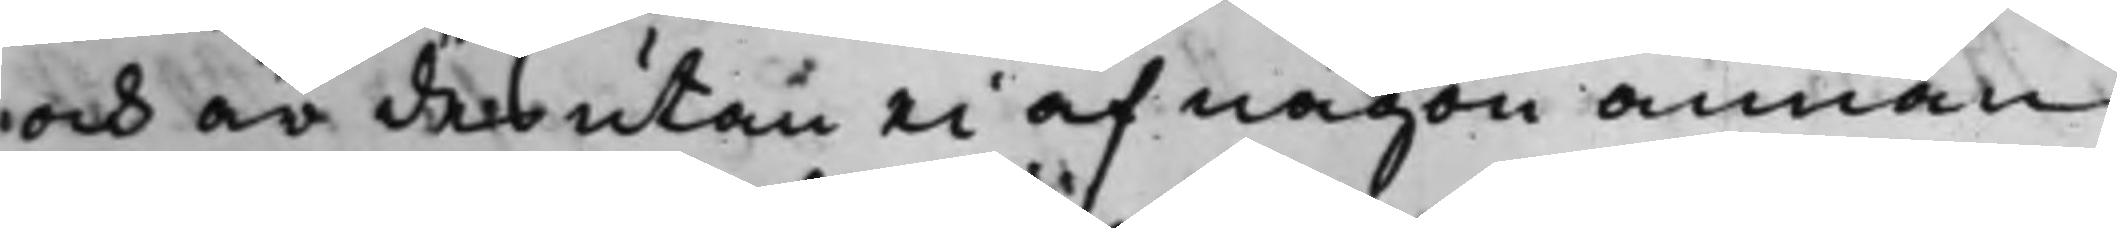och är desutan ei af någon annan
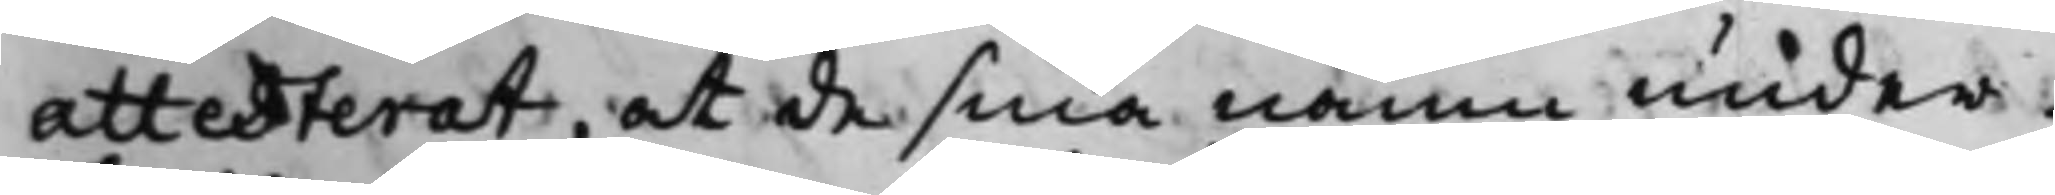Attesterat, at de sina namn under¬
